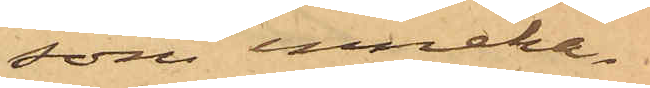som inneha¬
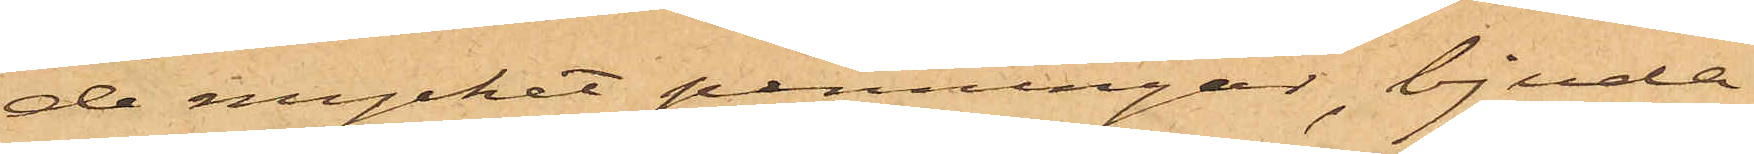de mycket penningar, bjuda
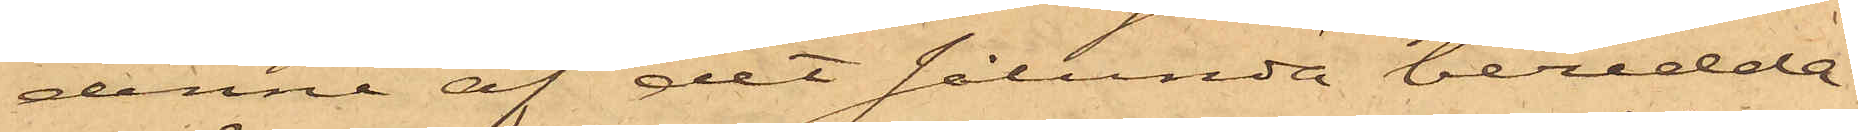denne af det sålunda beredda
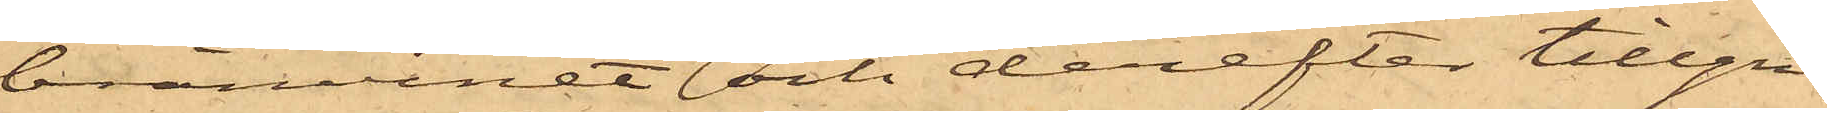bränvinet och derefter tillgri¬
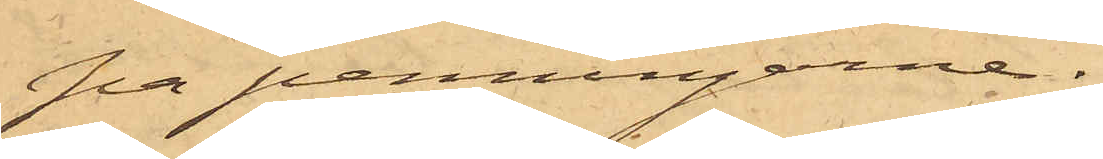pa penningarne.
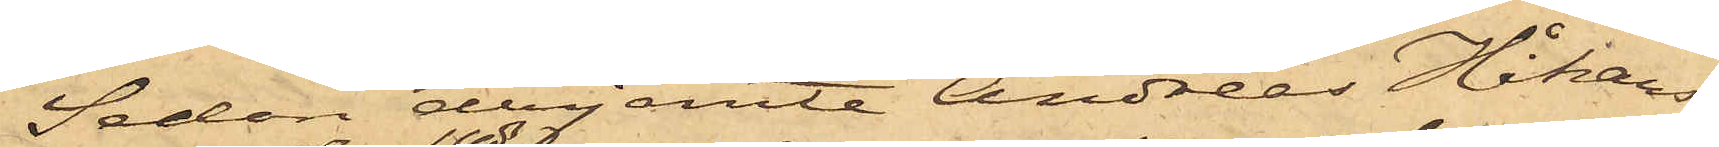Sedan derjemte Andreas Håkans¬
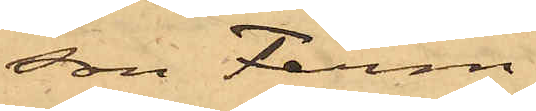son Ferm
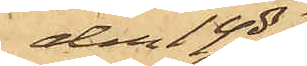den 14 ds
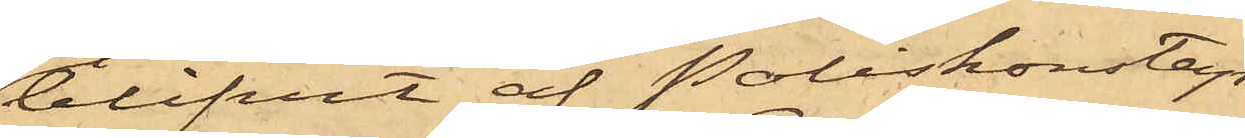blifvit af Poliskonstap¬
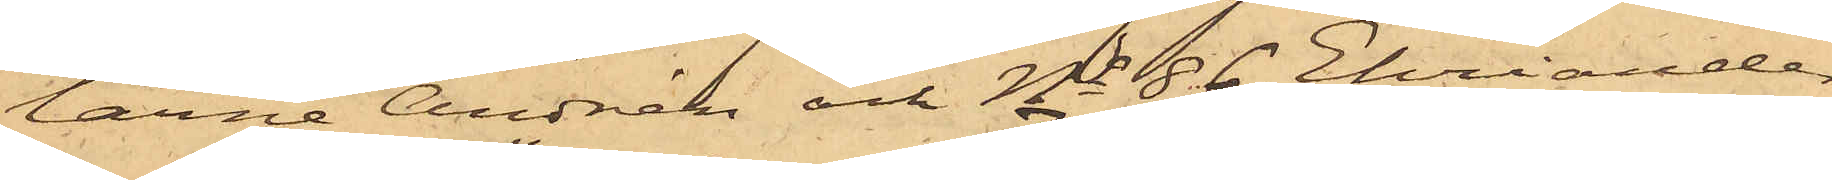larne Andrén och No 86 Ehriander
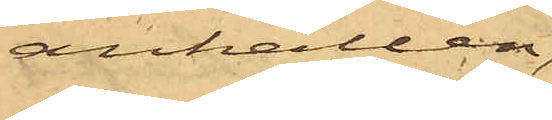anhållen,
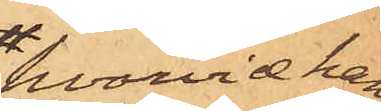hvarvid han
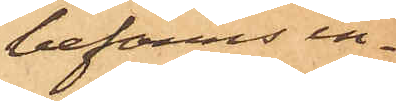befanns in¬
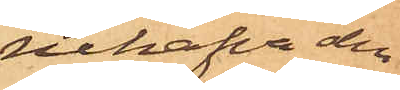nehafva den
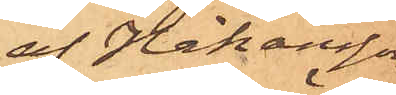af Håkansson
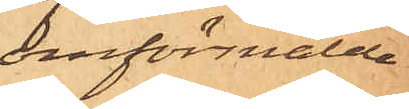omförmälde
